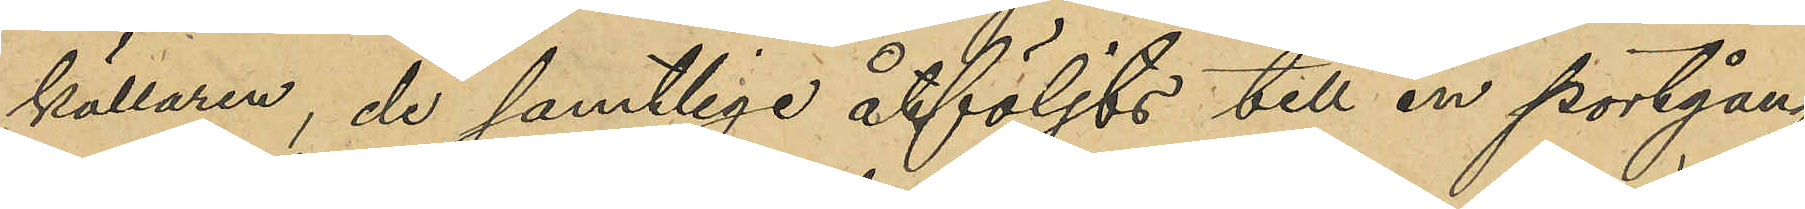källaren; de samtlige åtföljts till en portgång
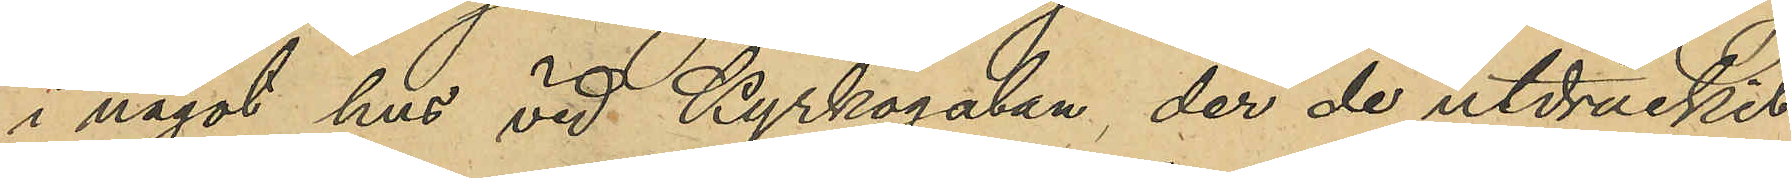i något hus vid Kyrkogatan de de utdruckit
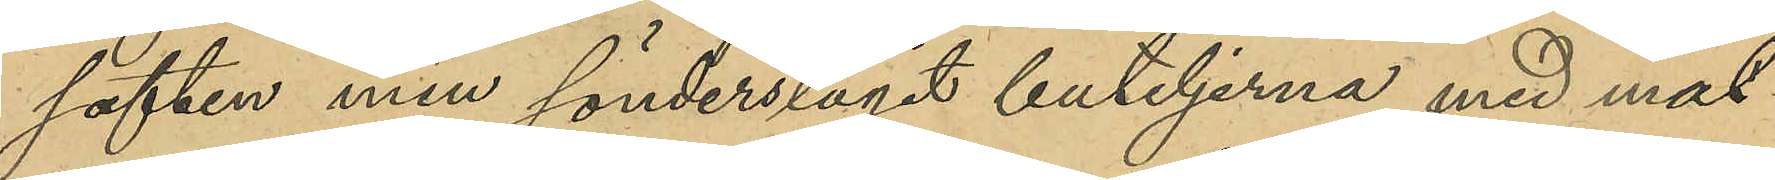saften men sönderslagit buteljerna med mat¬
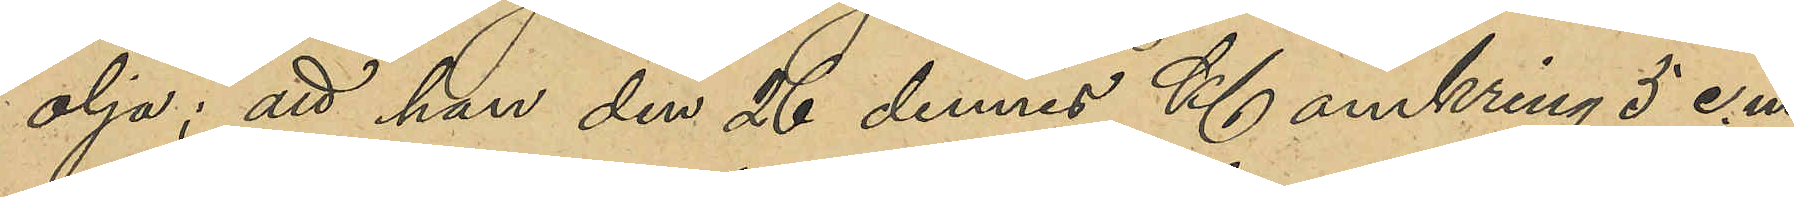olja; att han den 26 dennes Kl omkring 5 e.m.
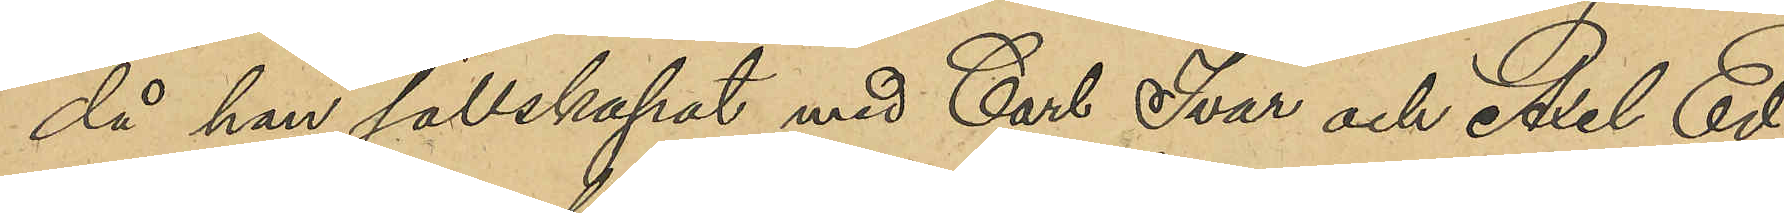då han sällskapat med Carl Ivar och Axel Ed-
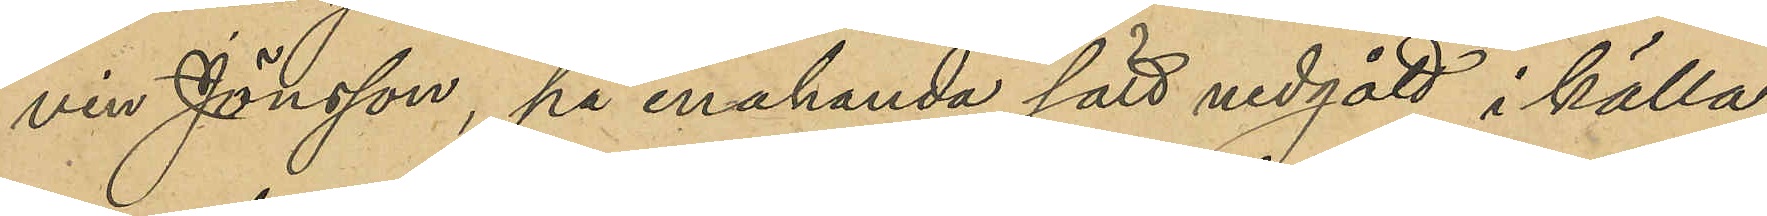vin Jönsson, på enahanda sätt nedgått i källa¬
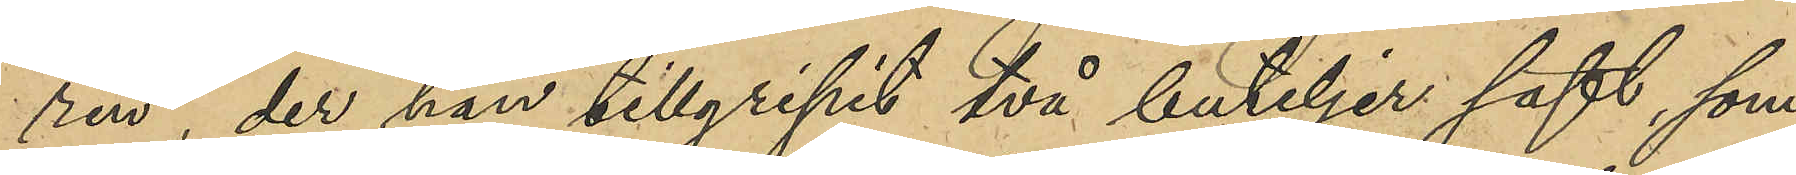ren, der han tillgripit två buteljer saft, som
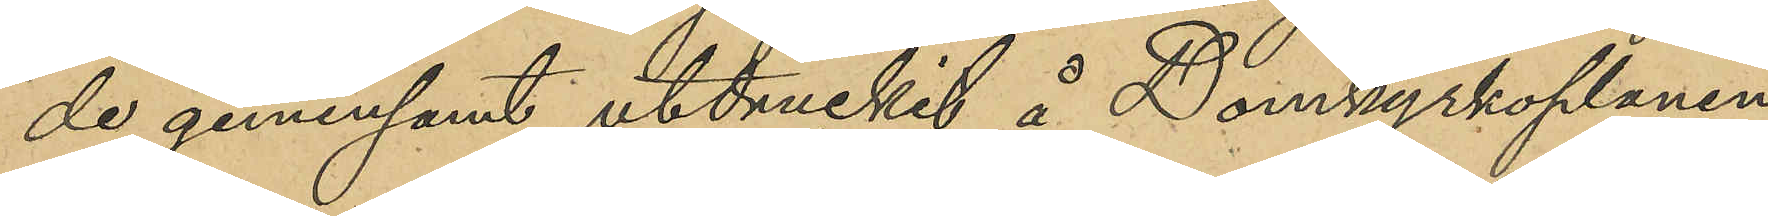de gemensamt utdruckit å Domkyrkoplanen;
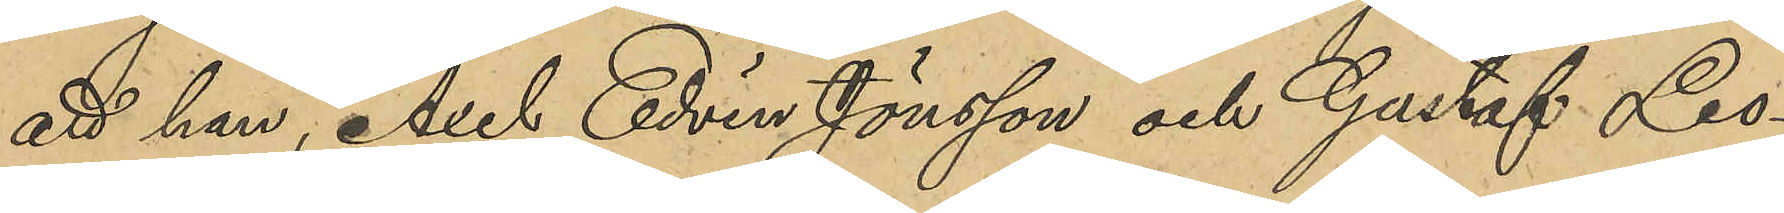att han, Axel Edvin Jönsson och Gustaf Leo¬
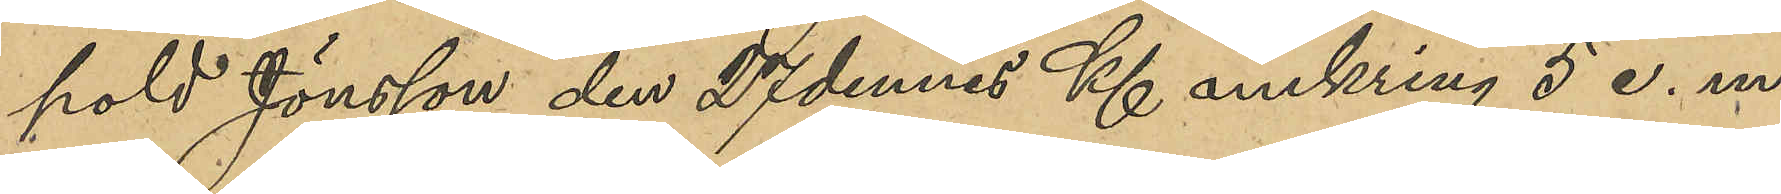pold Jönsson den 27 dennes Kl omkring 5 e. m.
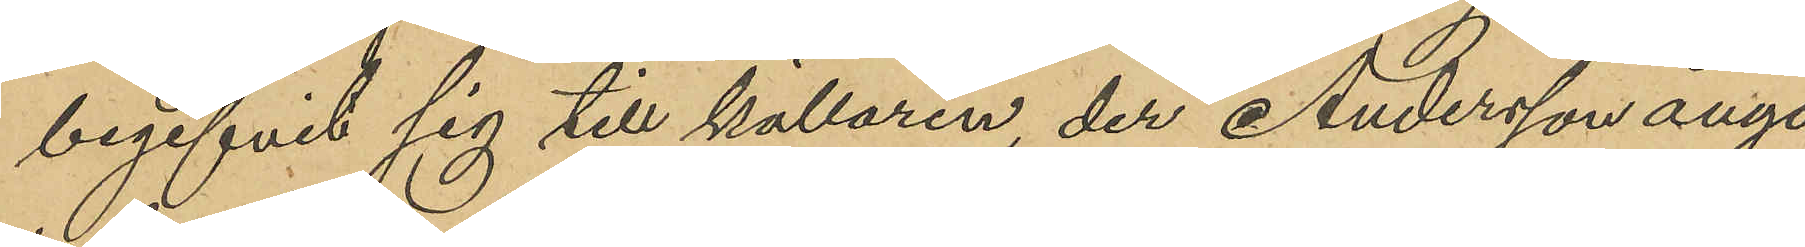begifvit sig till källaren, der Andersson ånyo
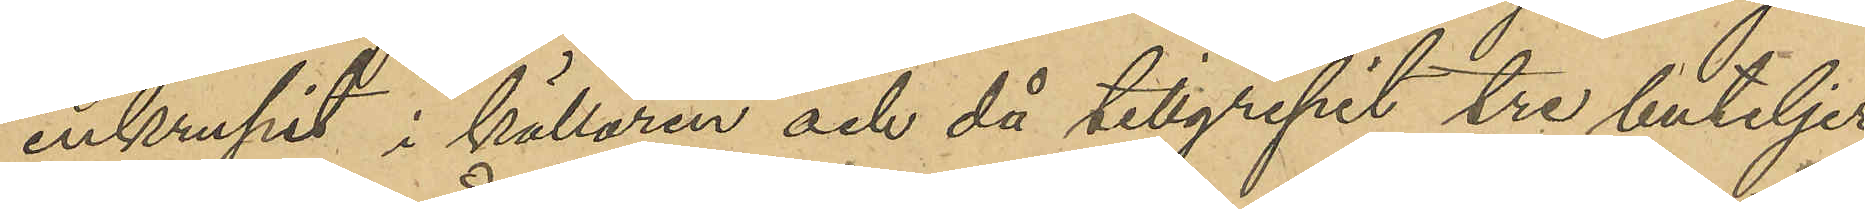inkrupit i källaren och då tillgripit tre buteljer
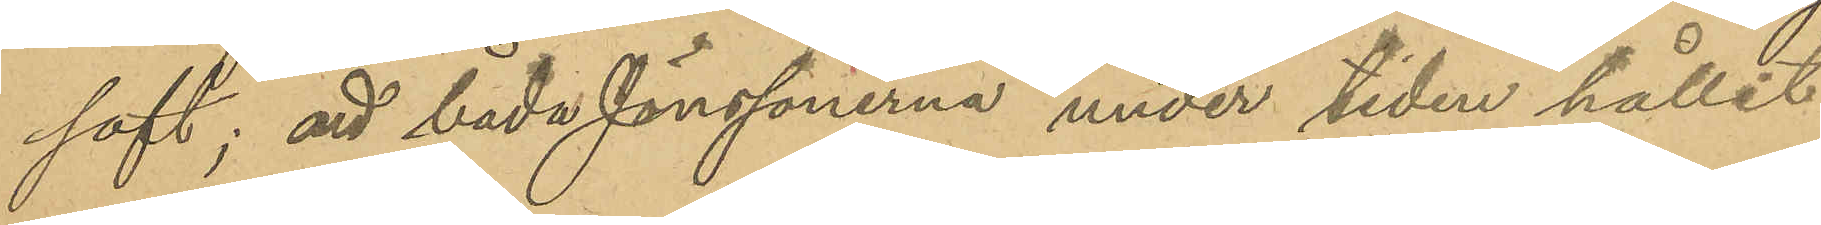saft; att båda Jönssönerna under tiden hållit
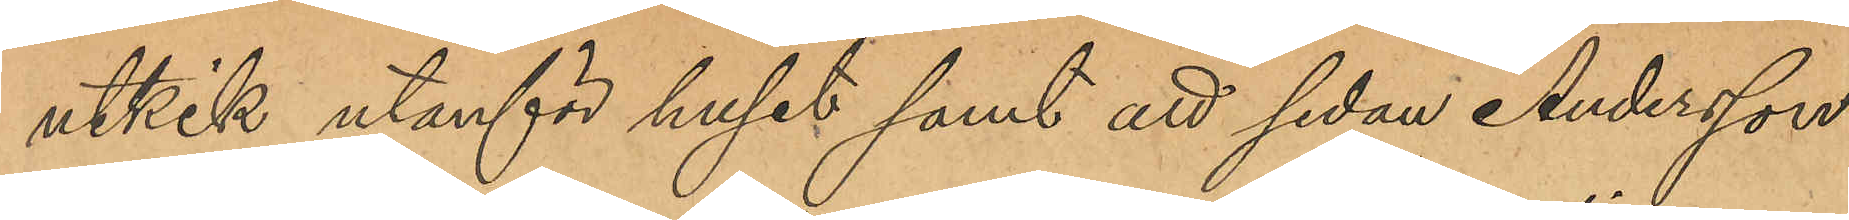utkik utanför huset samt att sedan Andersson
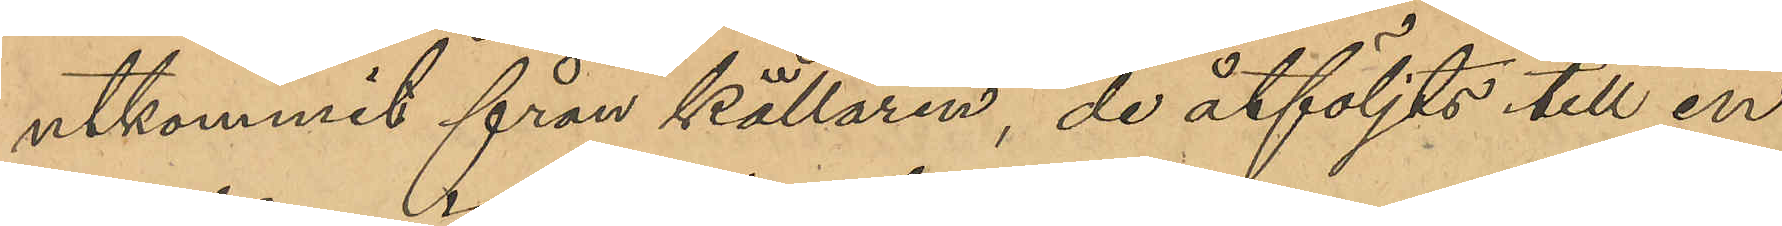utkommit från källaren, de åtföljts till en
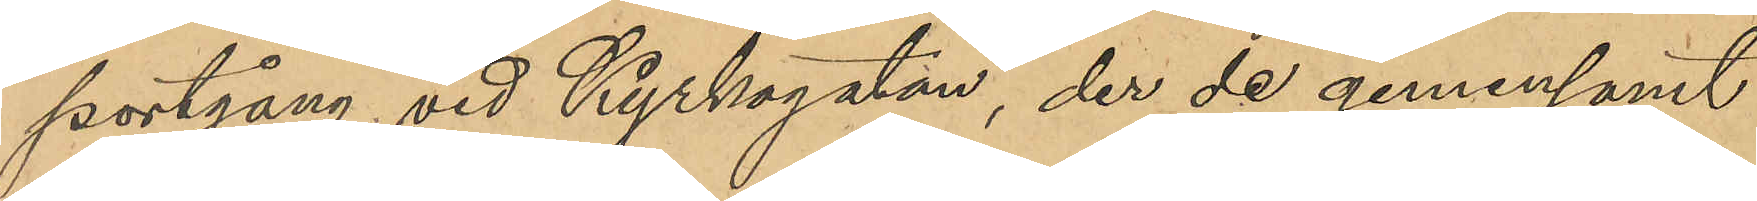portgång vid Kyrkogatan der de gemensamt
